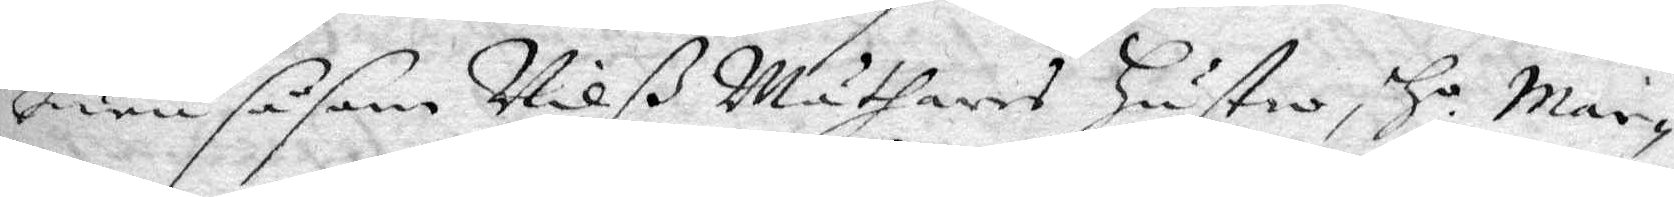huru såsom Nilß Mäthares Hustro H.o Mar¬
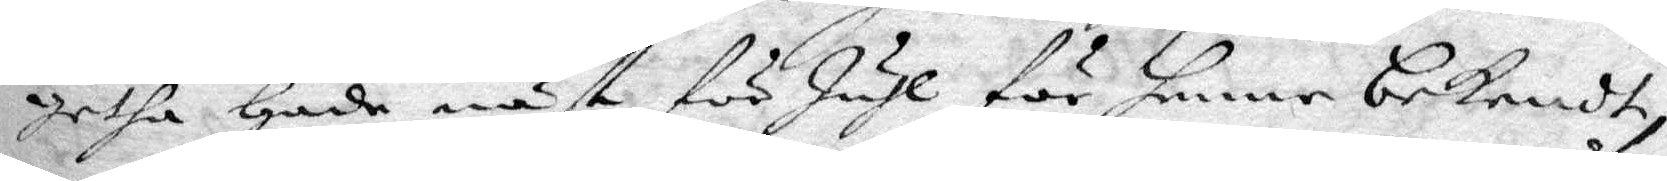getha hade näst för Juhl för henne bekendt,
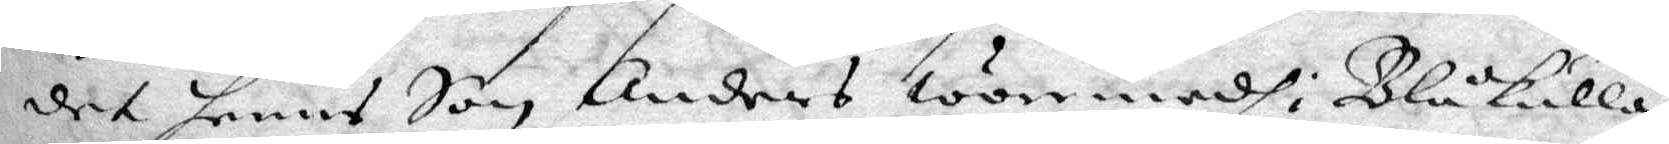det hennes Son Anders wore medh i Blåkulla,
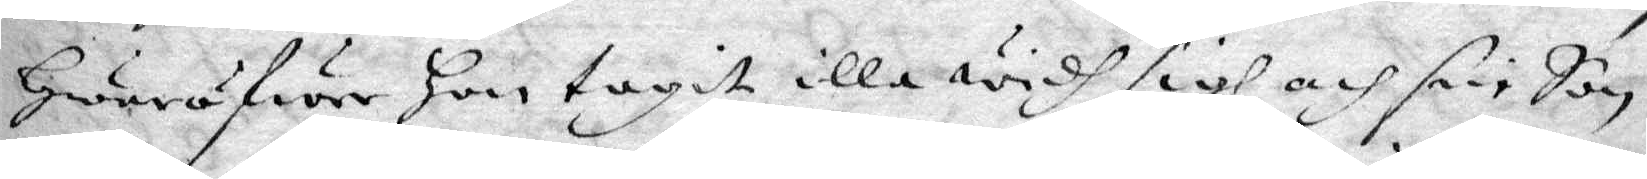hwarfäre hon tagit illa widh sigh och sin Son
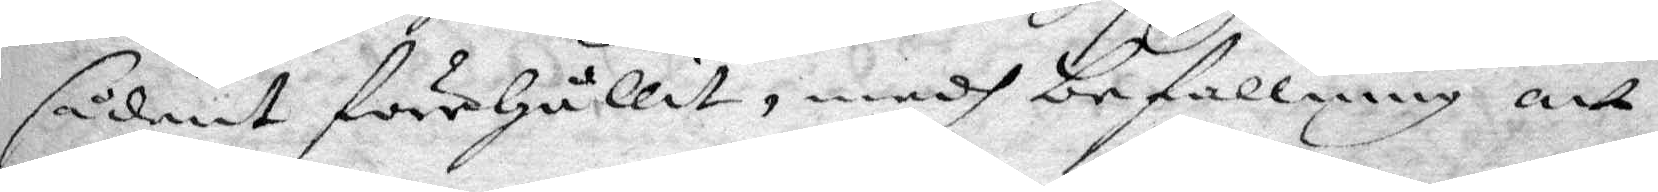sådant förehållit, medh befallning att
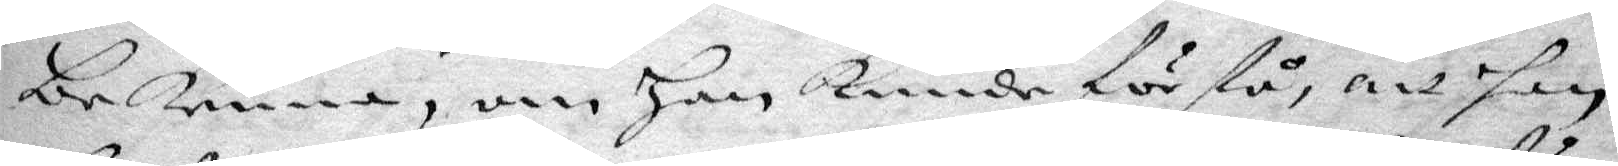bekenna, om Han Kunde förstå, att han
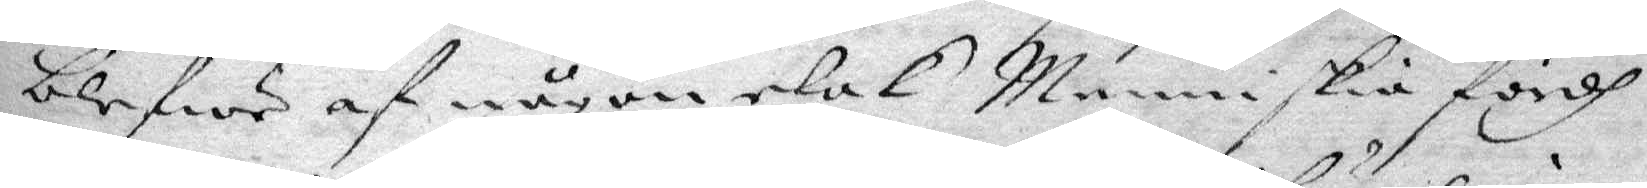blefwe af någon elak Menniskia fördh
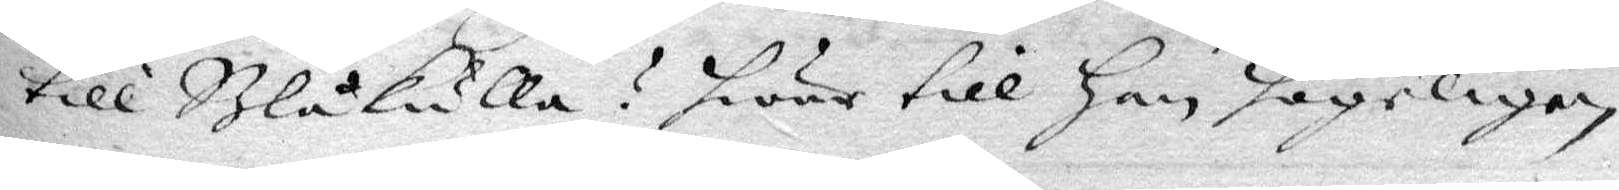till Blåkulla? hwar till Han högeligen
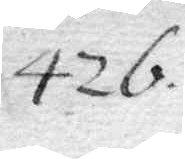426.
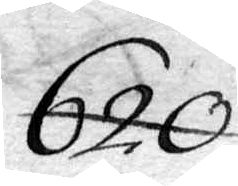620.
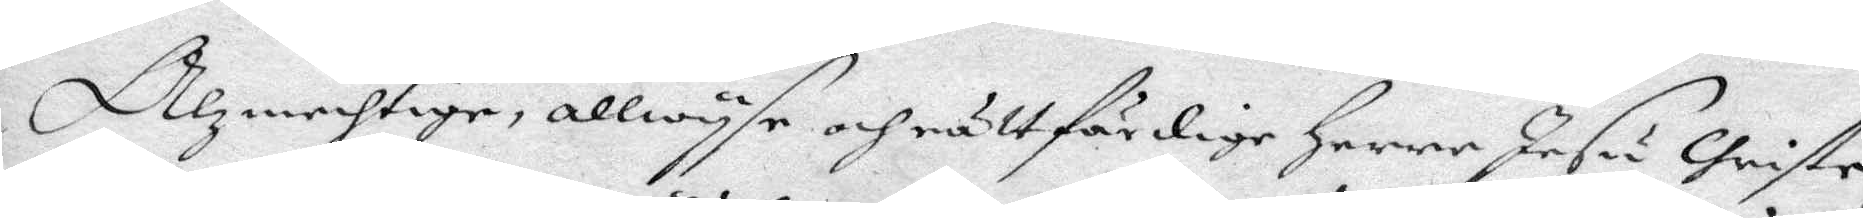Alzmechtige, allwyse och rättfärdige Herre jesu Christe,
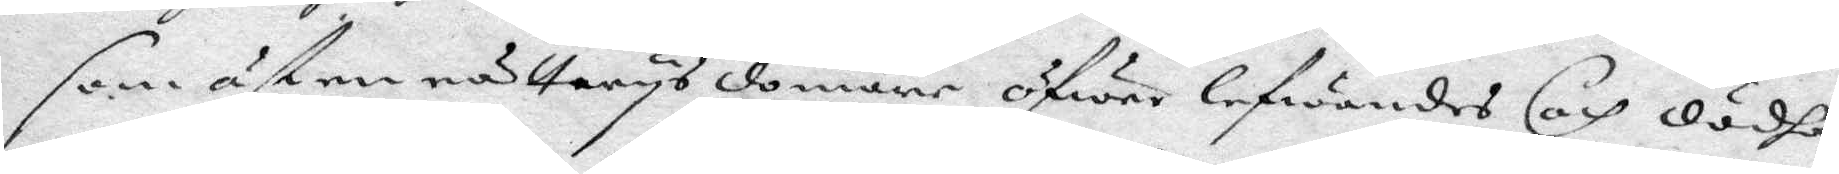som äst en rättwys domare öfwer lefwandes och dödha,
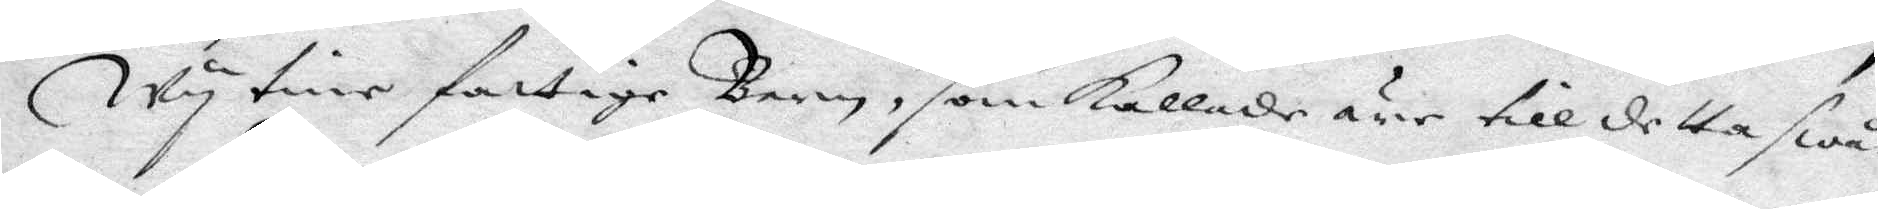Wy tine fattige Barn, som Kallade ärr till detta swå¬
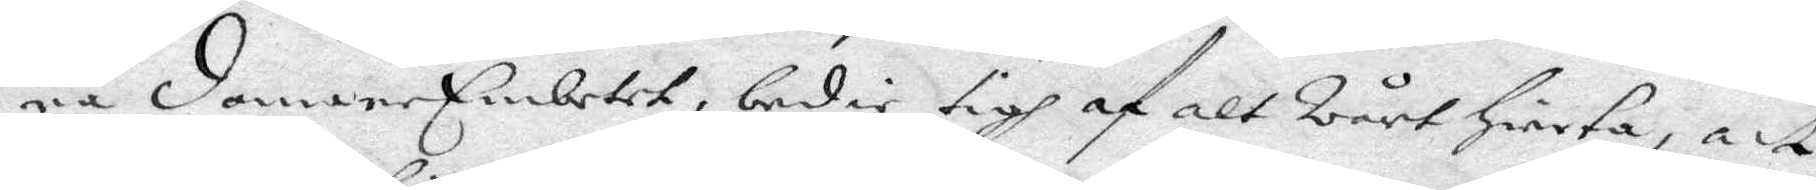ra domareEmbetet, bedir tigh af alt Wårt Hierta, att
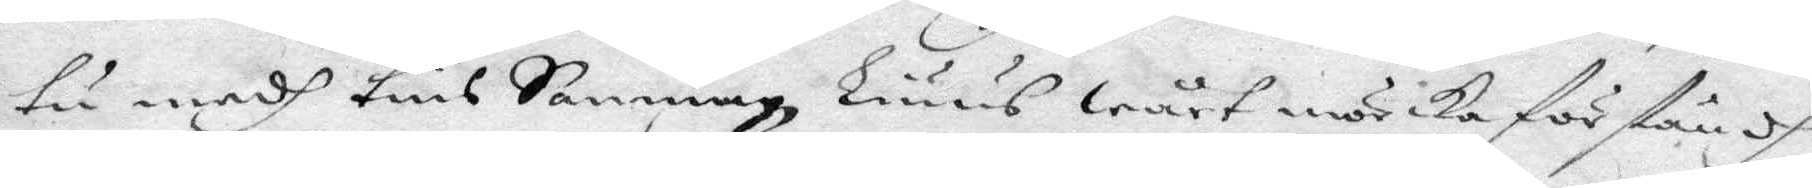tu medh tins Sanning, Liuus wårt mörika förståndh
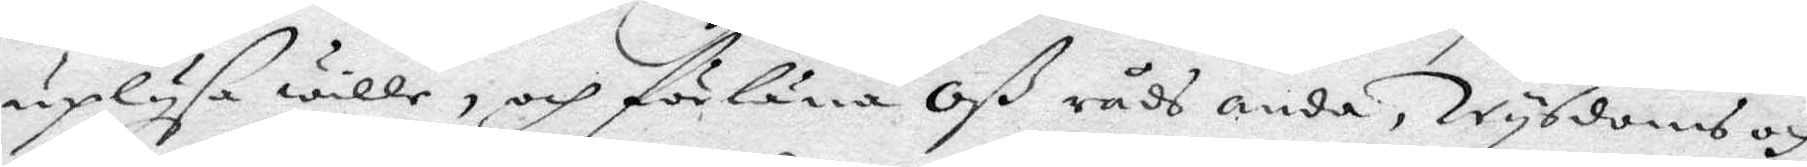uplysa wille, och förläna Oß råds anda, Wysdoms och
